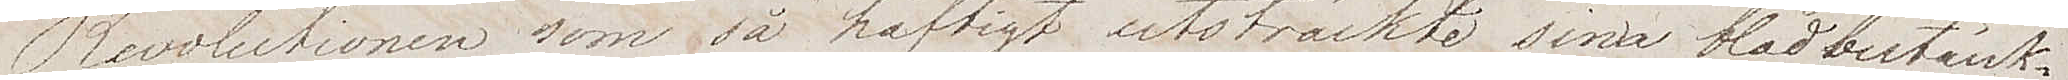Revolutionen som så häftigt utsträckte sina blodbestänk¬
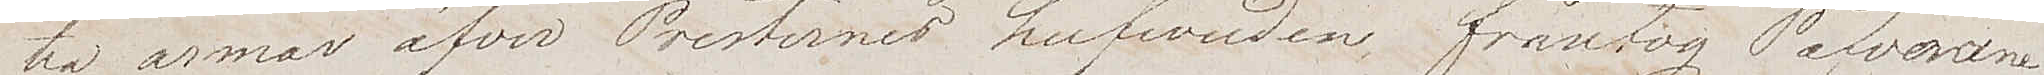ta armar öfver Presternas hufvuden, fråntog Påfvarna
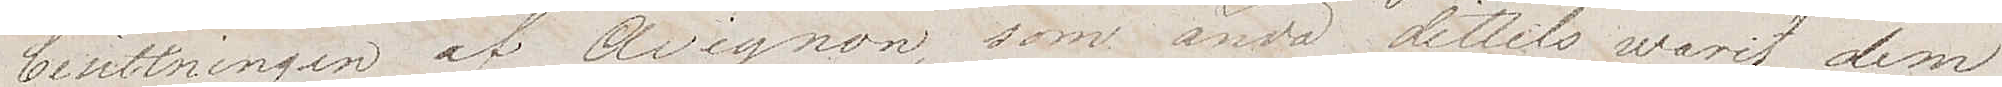besittningen af Avignon som ända dittills varit dem
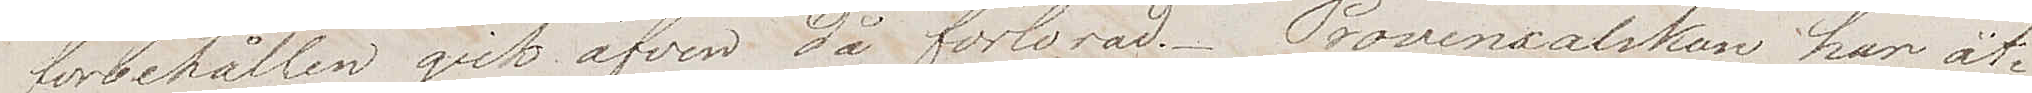förbehållen gick äfven då förlorad. Provensalskan har åt¬
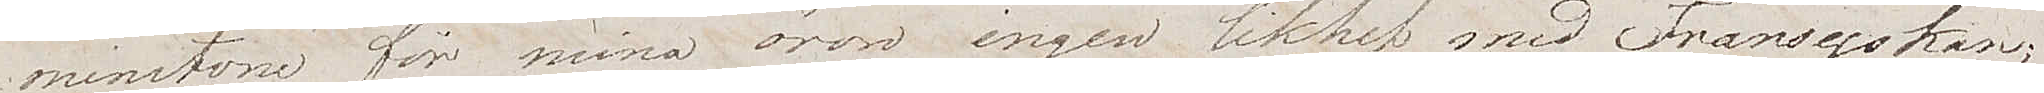minstone för mina ögon ingen likhet med Fransyskan;
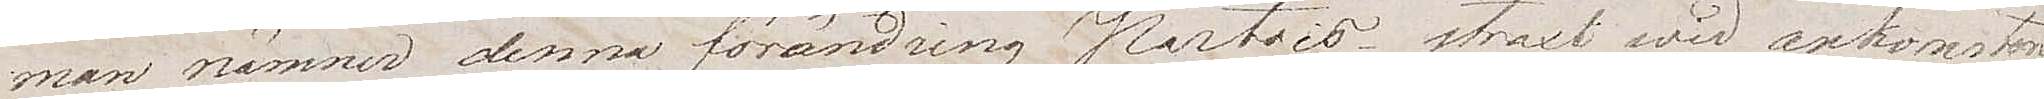man nämner denna förändring Patois. straxt wid ankomsten
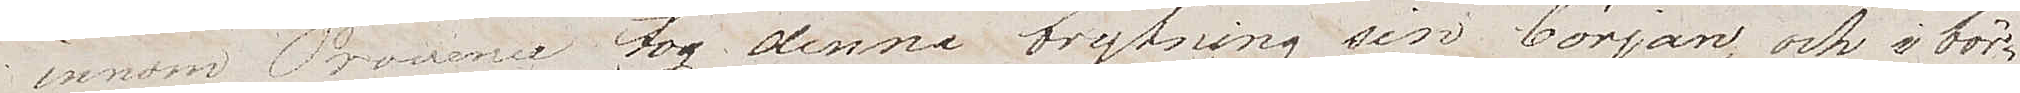innom Provence tog denna brytning sin början och i bör¬
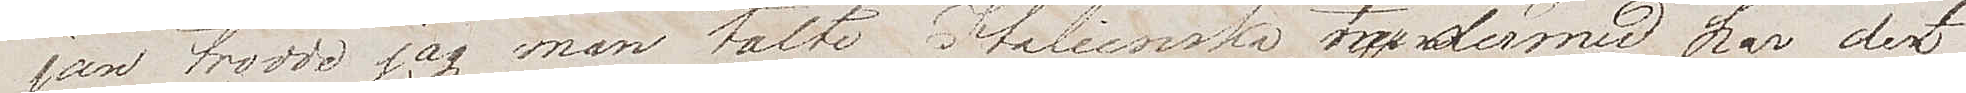jan trodde jag man talte Italienska hvarmed har det
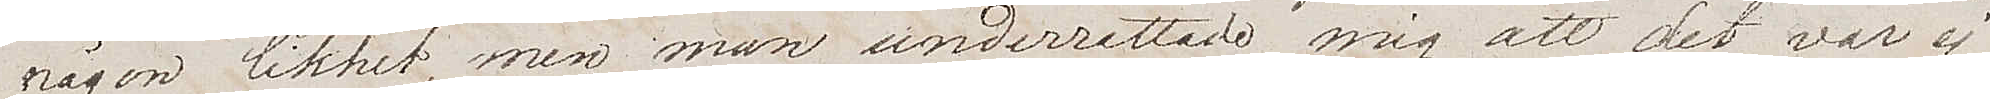någon likhet, men man underrättade mig att det var ej
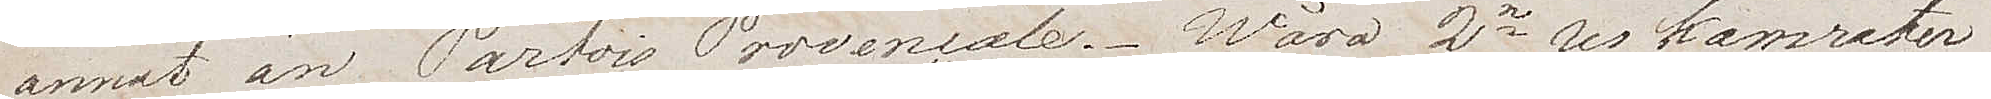annat än Patois Provencale. Wåra 2ne kamrater
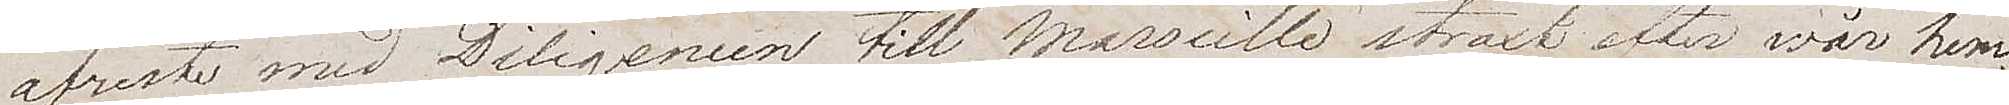afreste med Diligencen till Marseille straxt efter vår hem¬
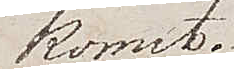komst.
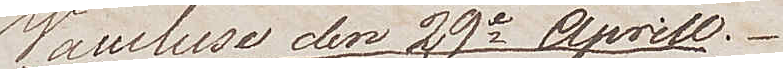Vaucluse den 29e Aprill.
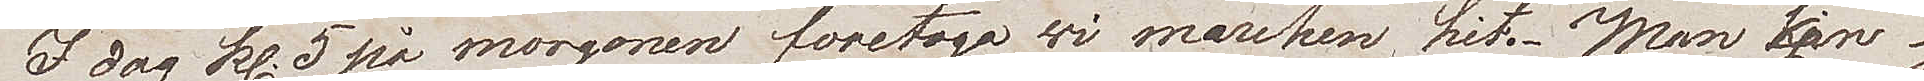I dag kl. 5 på morgonen företogo vi marschen hit. Man kan ej
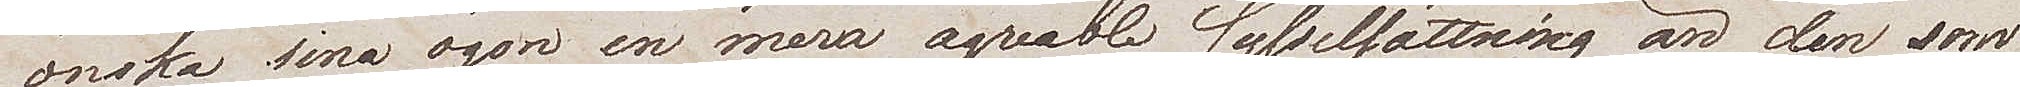önska sina ögon en mera agreable sysselsättning än den som
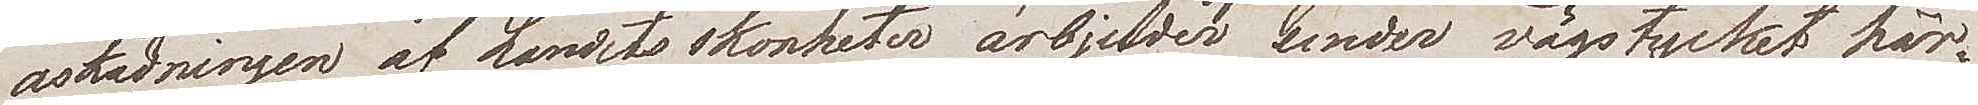åskådningen av Landets skönheter ärbjuder under vägstycket här
